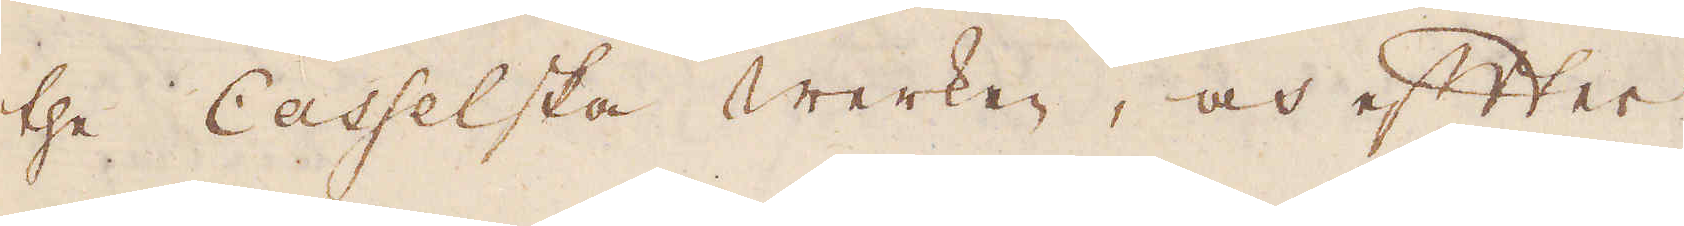the Casselska Werken, och efter
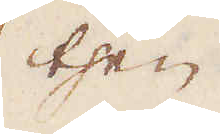then
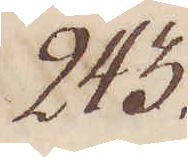243.
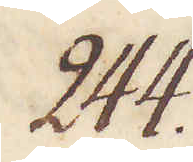244.
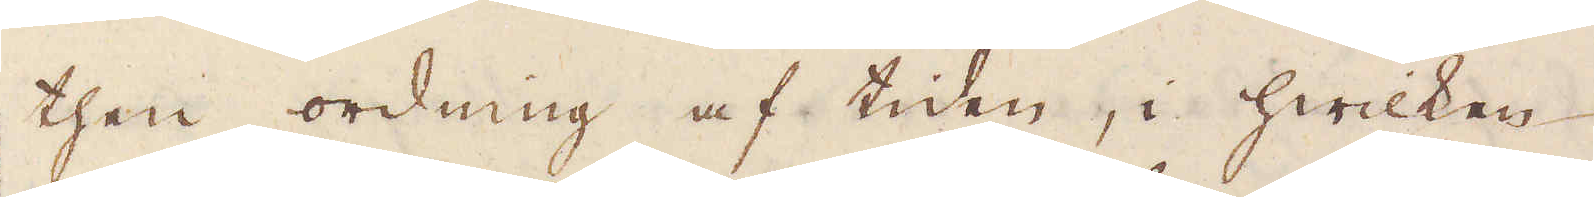then ordning af tiden, i hwilken
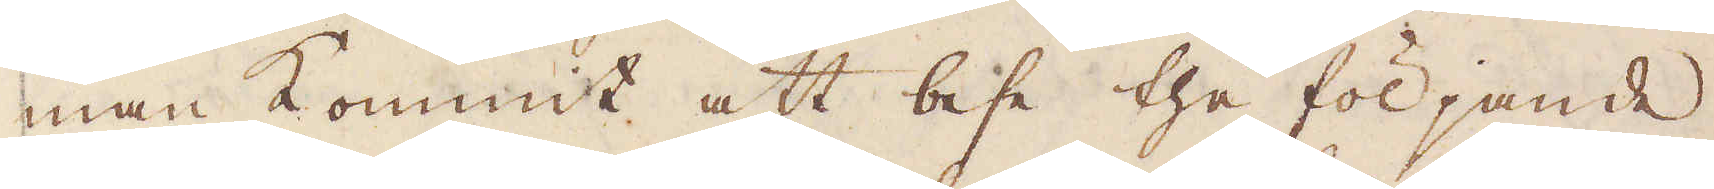man kommit att bese the följande
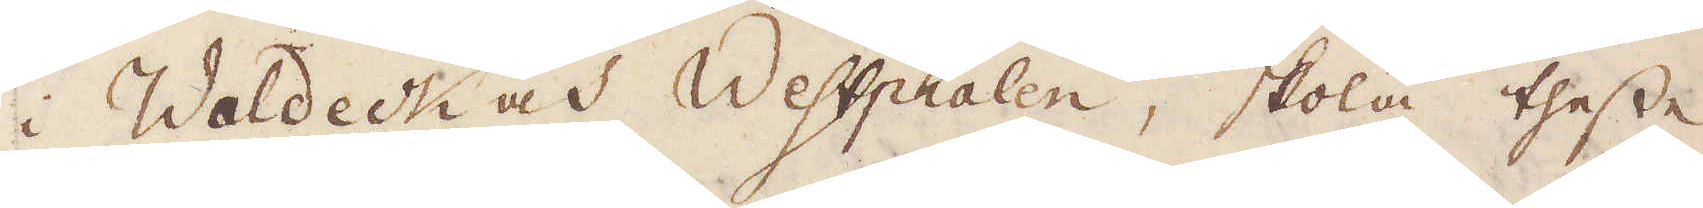i Waldeck och Weffphalen, skola thesse
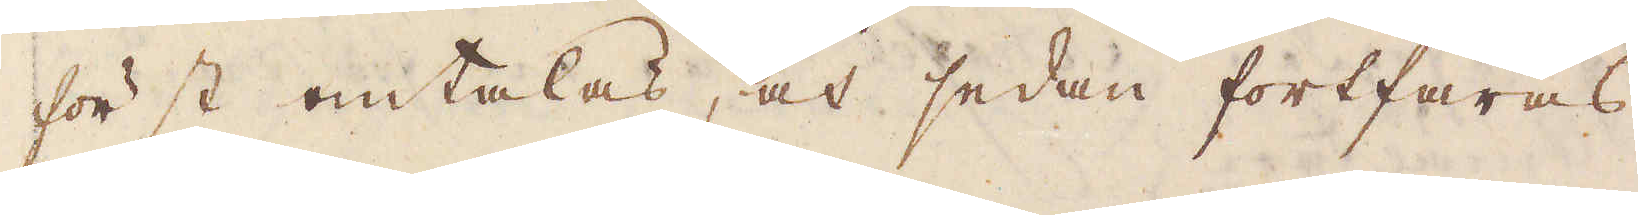först omtalas, och sedan fortfaras
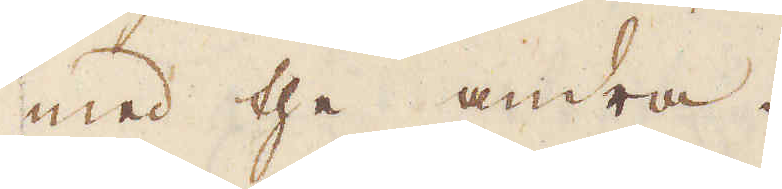med the andra.
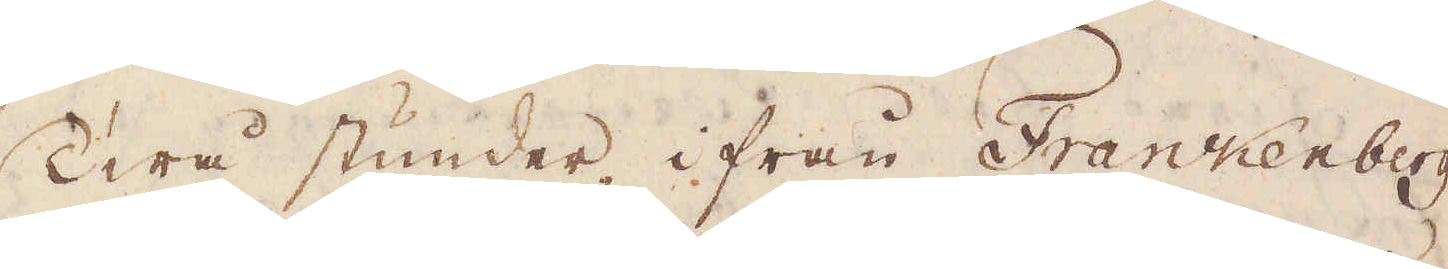Twå stunder ifrån Frankenberg
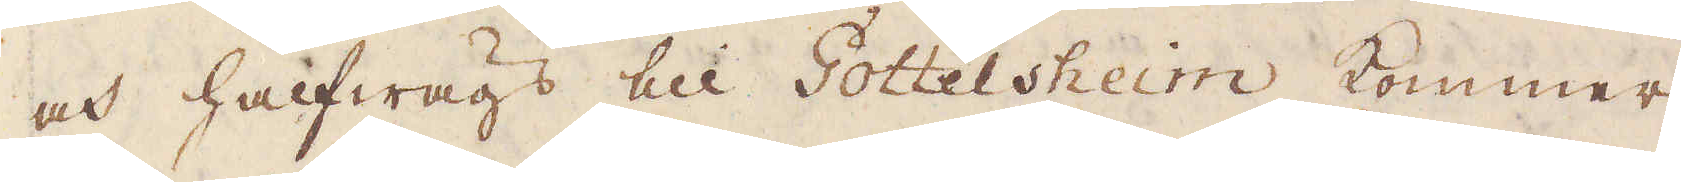och halfwägs till Gottelsheim kommer
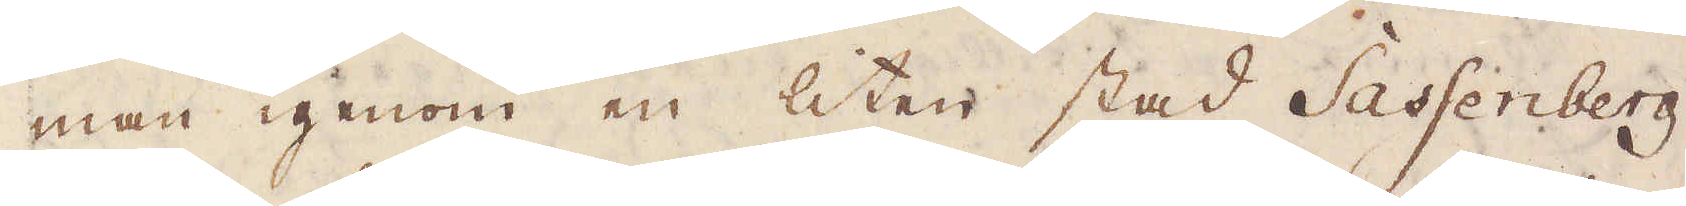man igenom en liten stad Sassenberg
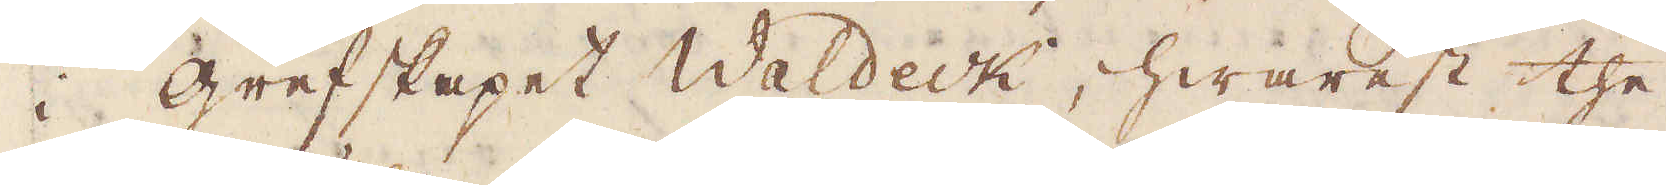i grefskapet Waldeck, hwarest the
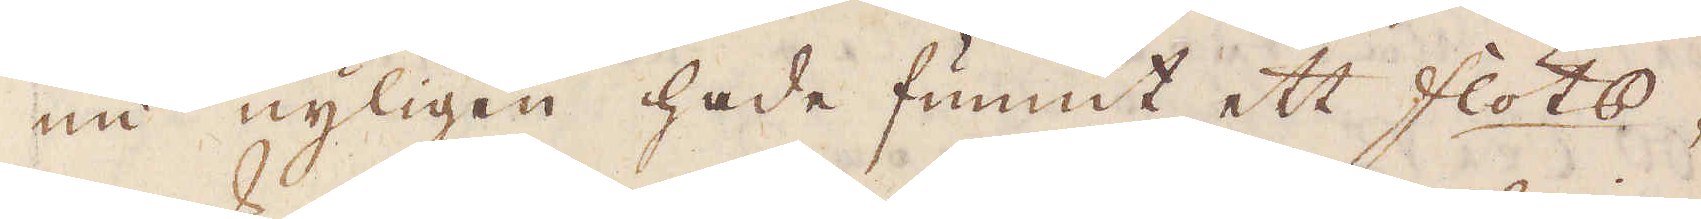nu nyligen hade funnit ett flöts-
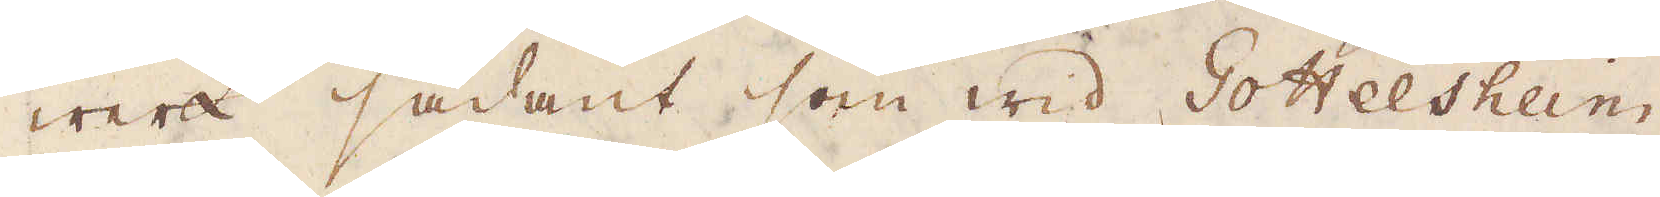werk sådant som wid Goteshem,
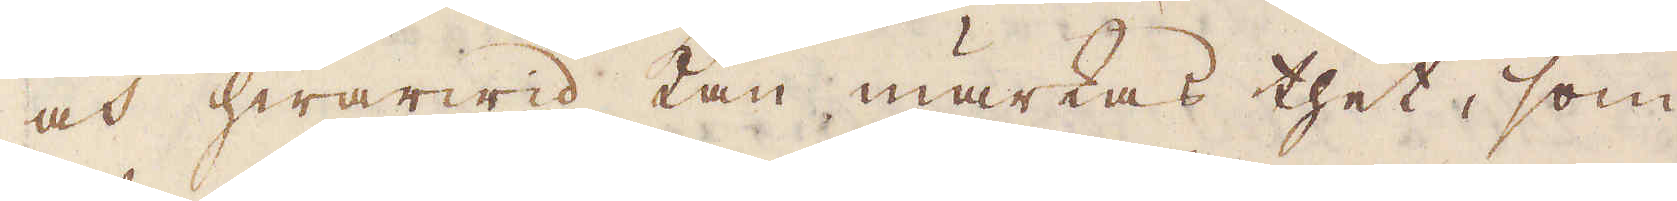och hwarwid kan märkas thet, som
